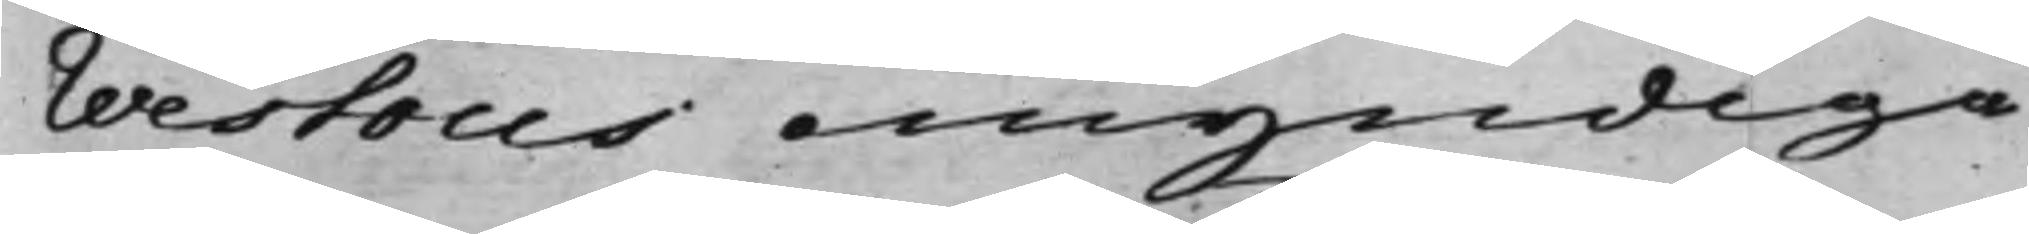Westous omyndiga
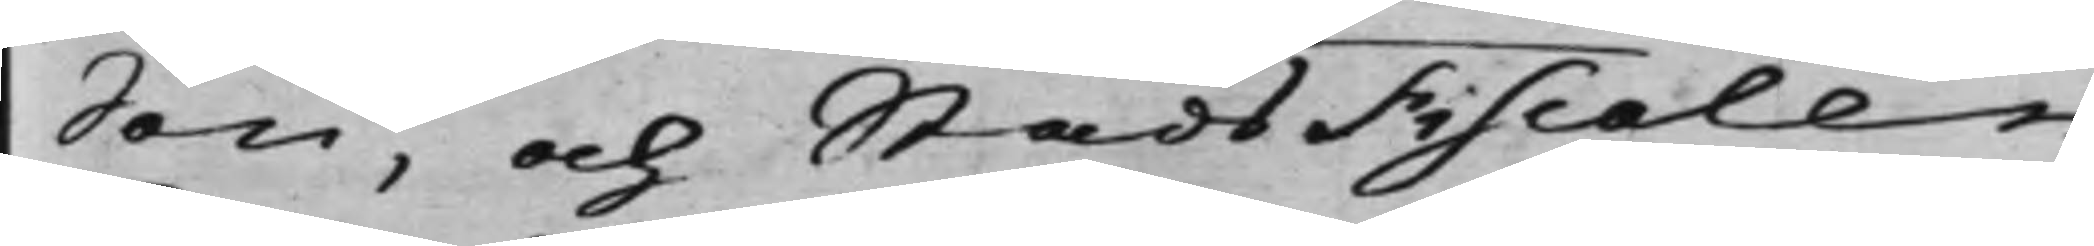Son, och StadsFiscalen
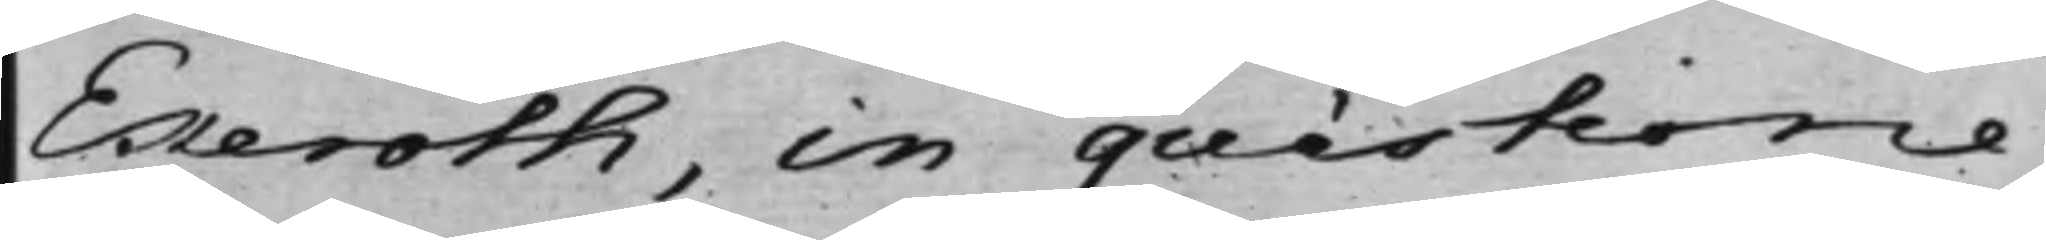Ekeroth, in quéstione
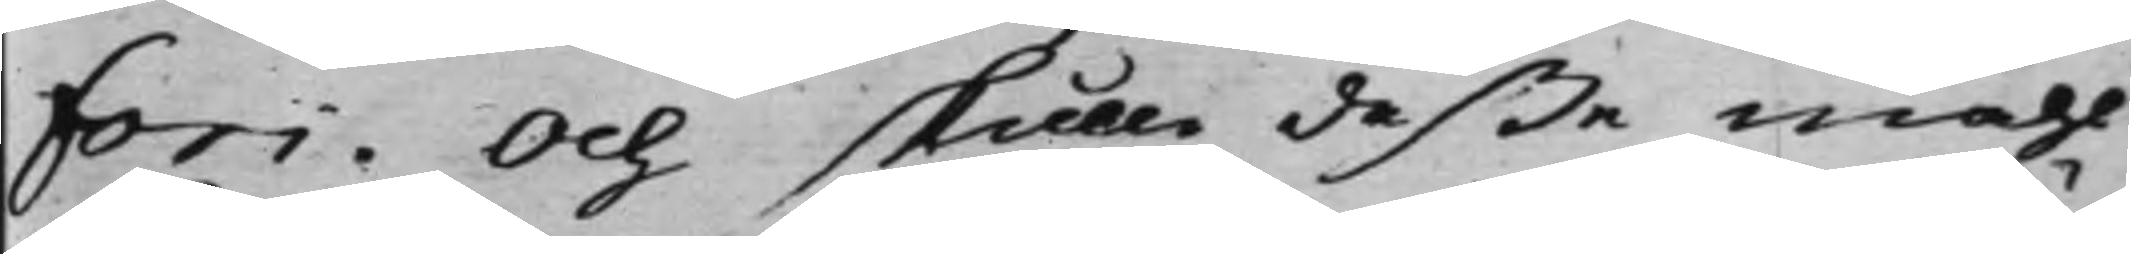Fori. Och skulle deße måhl
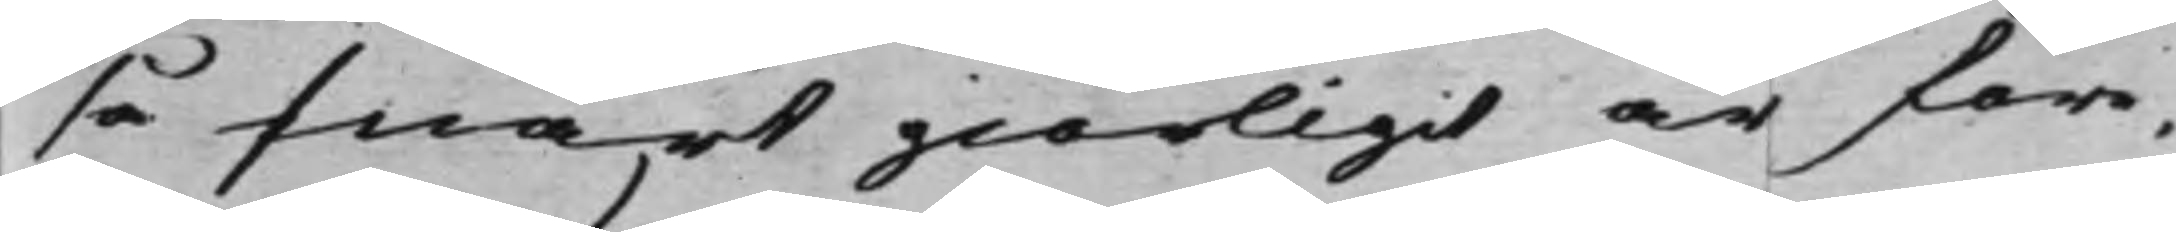så snart giörligit är före¬
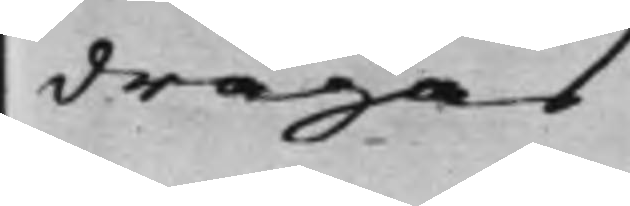dragas
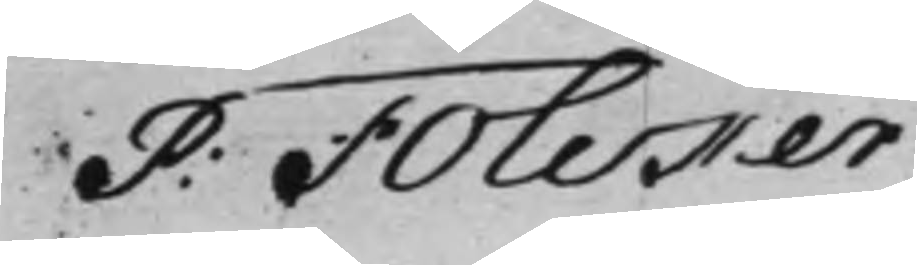P: Folcker
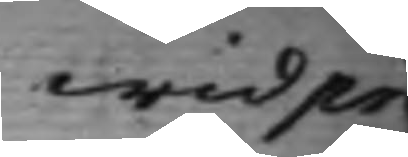wid pr
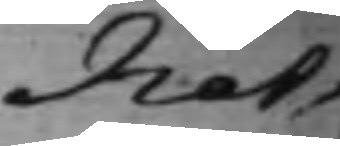Not.
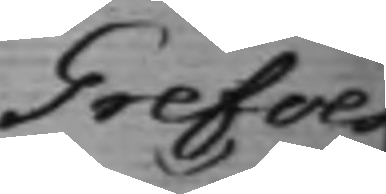Grefves¬
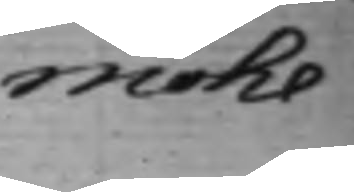möhl
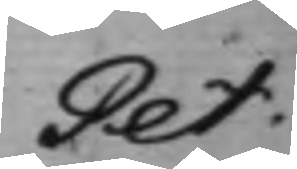Pet:
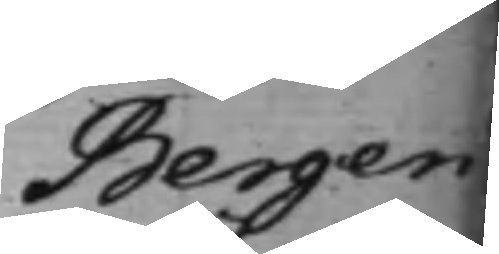Bergen¬
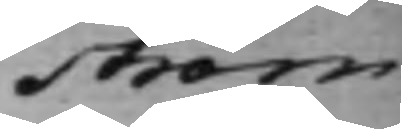ström
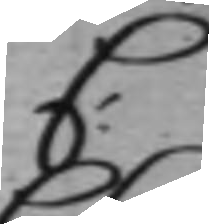C:
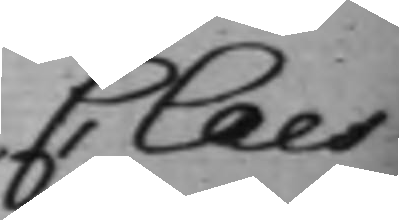Claes
